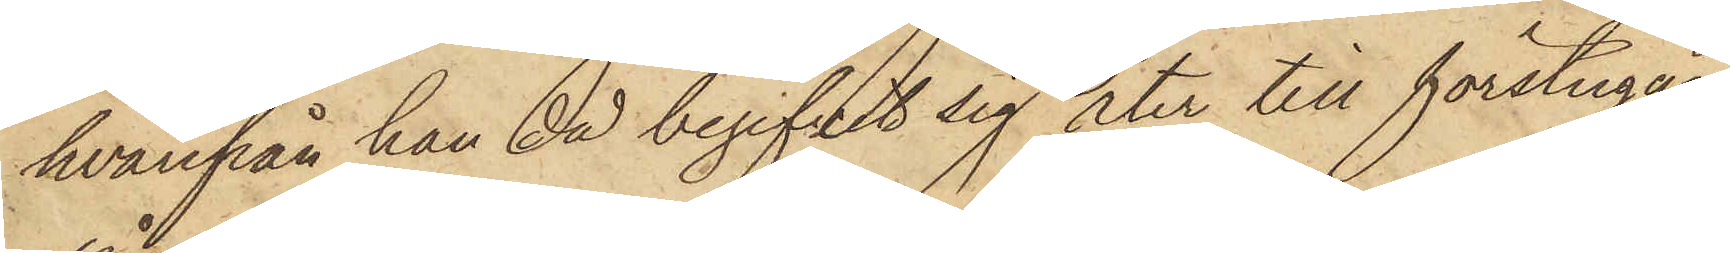hvarifrån han då begifvit sig åter till förstugan,
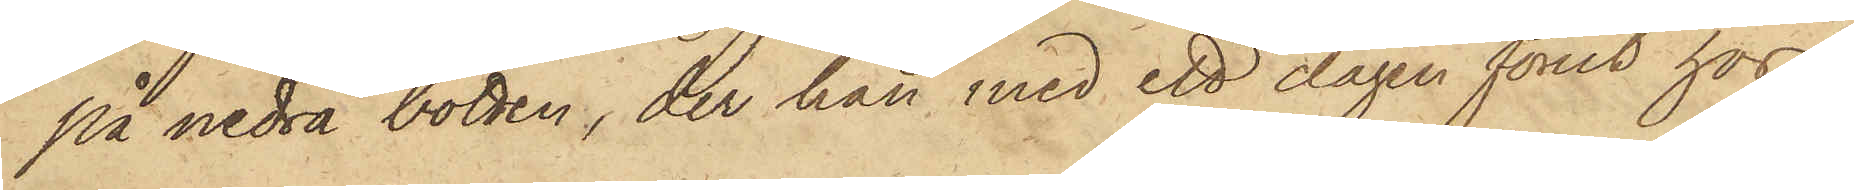på nedra botten, der han med ett dagen förut hos
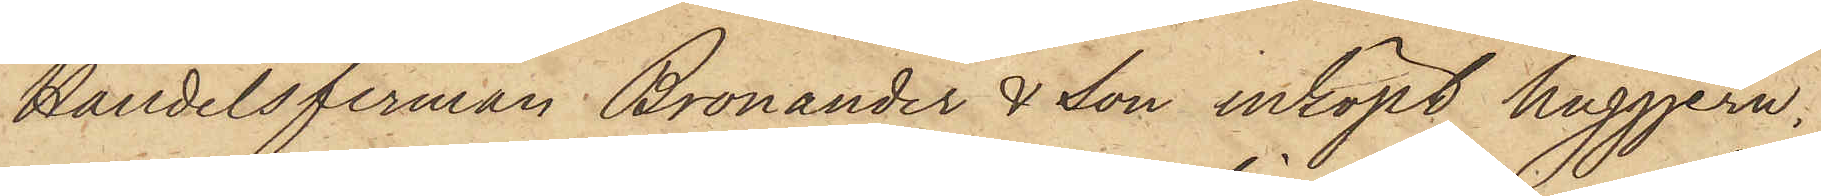Handelsfirman Bronander & Son inköpt huggjern,
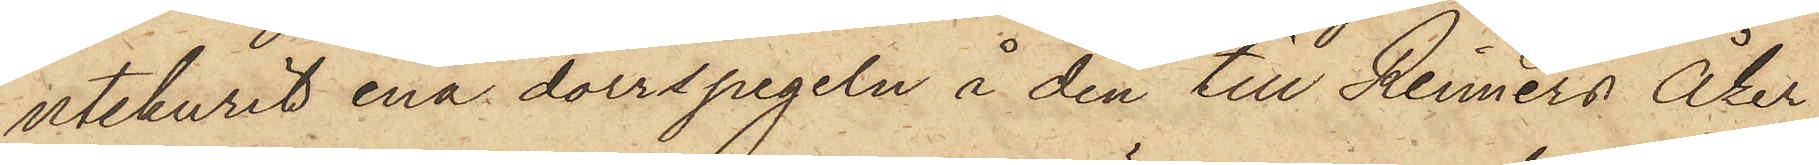utskurit ena dörrspegeln i den till Reimers Åker¬
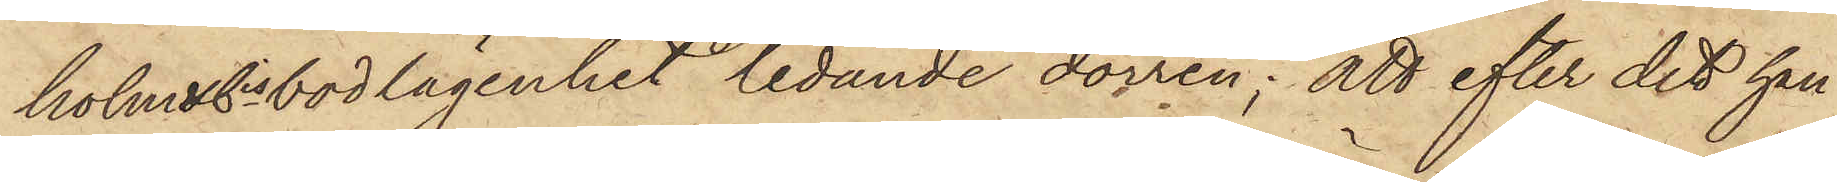holm & Cis bodlägenhet ledande dörren; att efter det han
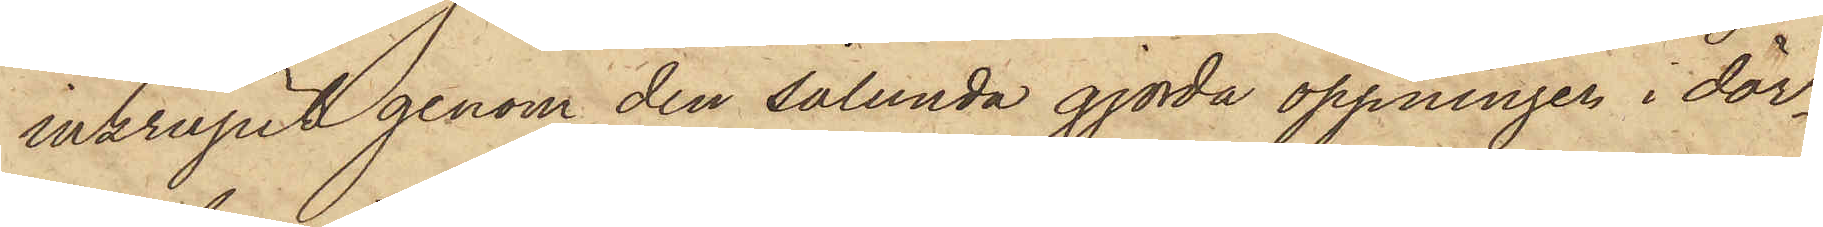inkrupit genom den sålunda gjorda öppningen i dör¬
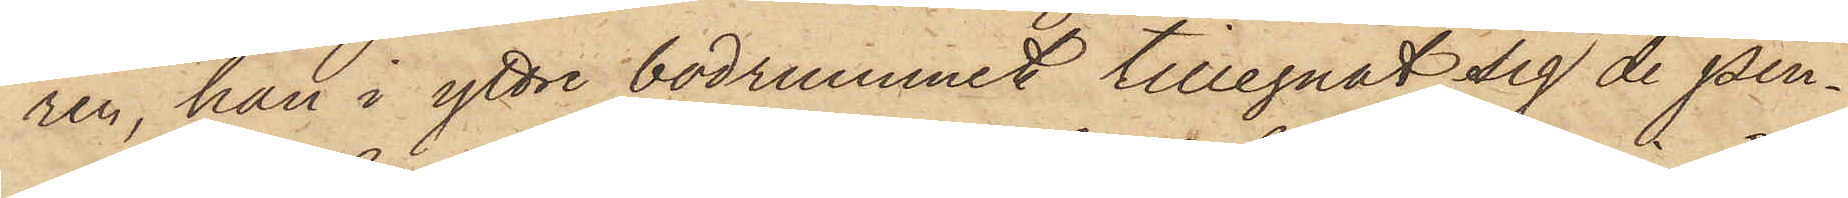ren, han i yttre bodrummet tillegnat sig de pen¬
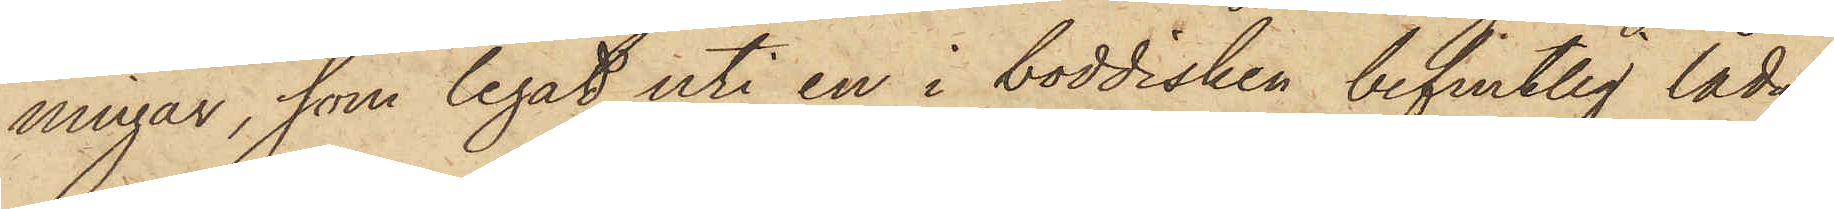ningar, som legat uti en i boddisken befintlig låda,
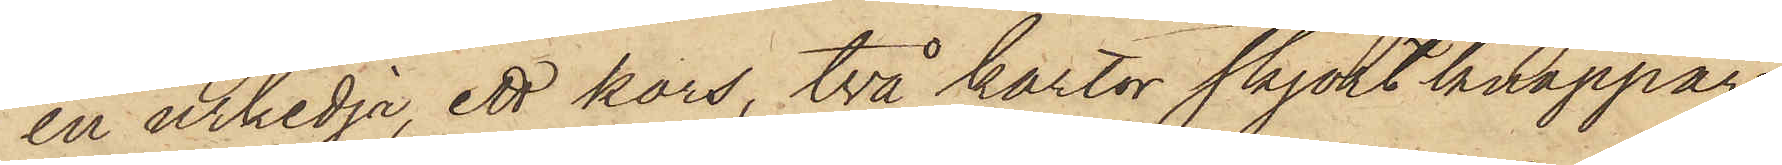en urkedja, ett kors, två kartor skjortknappar,
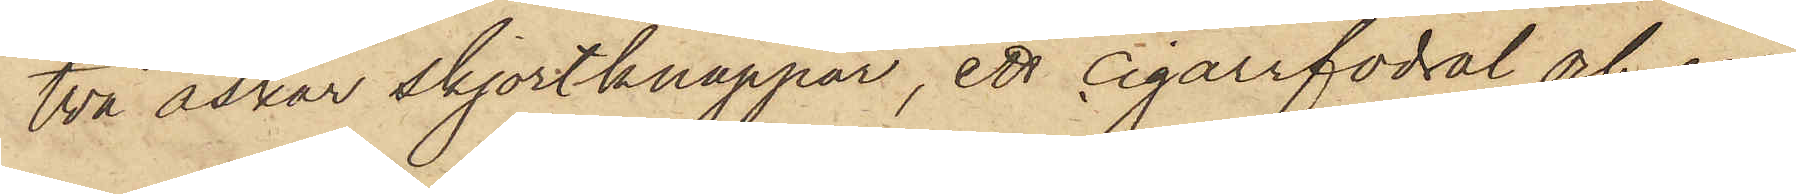två askar skjortknappar, ett cigarrfodral och en
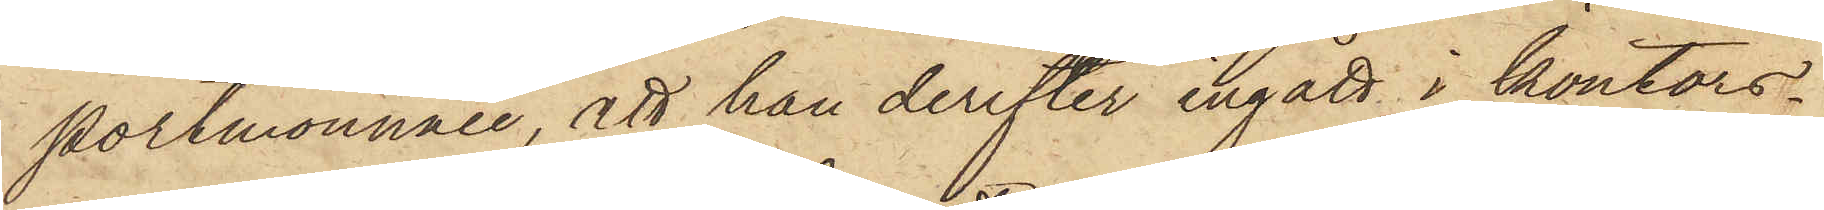portmonnaie, att han derefter ingått i kontors¬
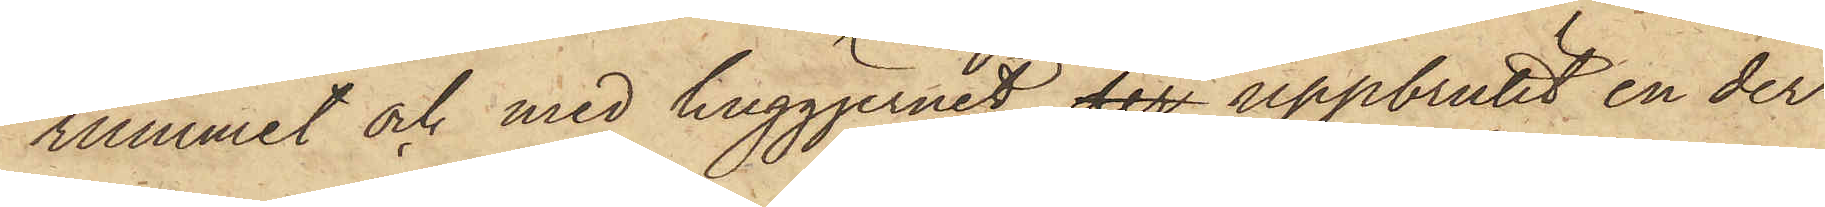rummet och med huggjernet der uppbrutit en der
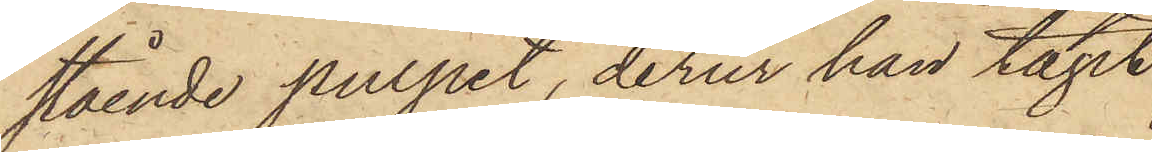stående pulpet, derur han tagit
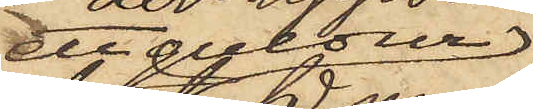ett guldur
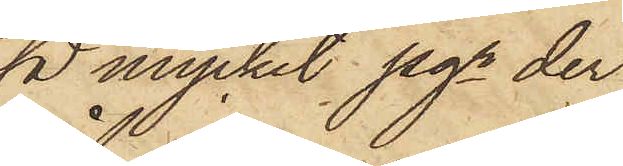så mycket pgr der
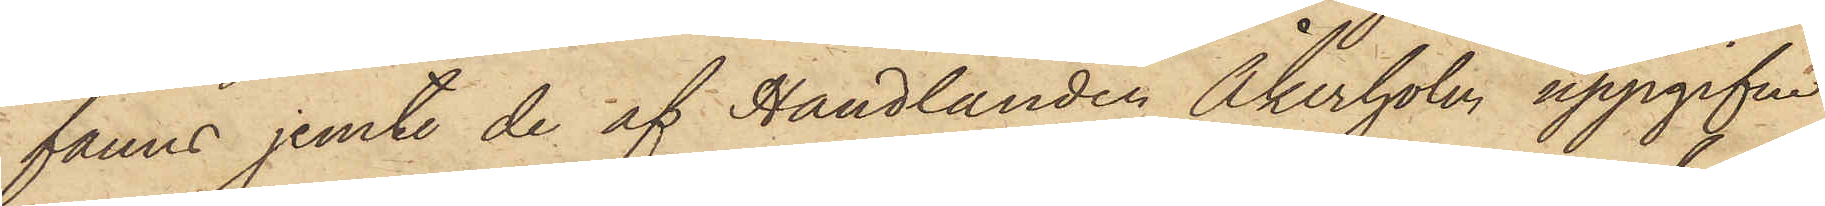fanns jemte de af Handlanden Åkerholm uppgifne
